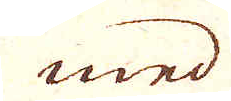med
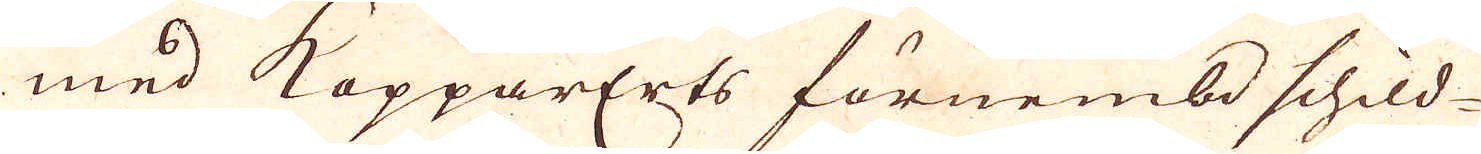med KopparErts förnembd schild-
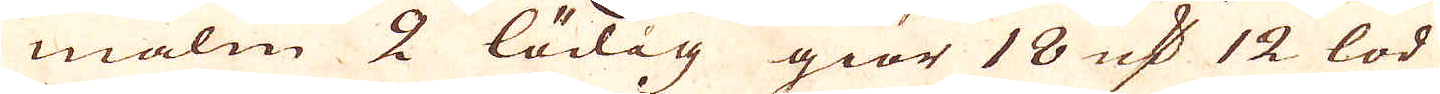malm 2 lödig giör 18 qv:r 12 lod
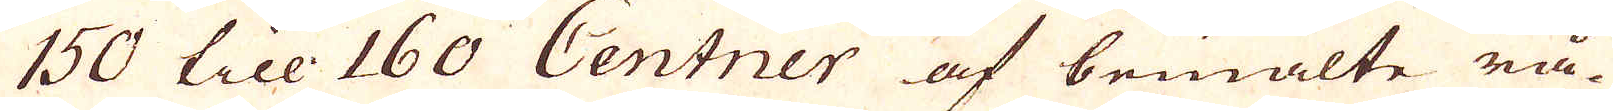150 till 160 Centner af bemälte rå-
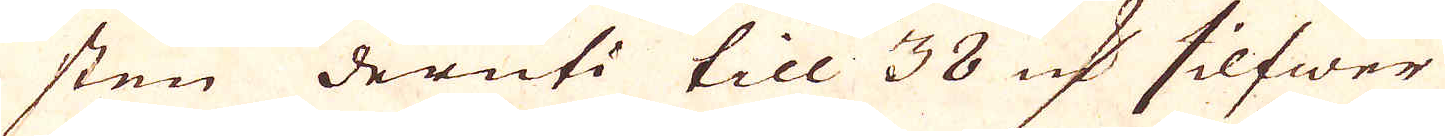sten deruti till 38 qv:r silfwer
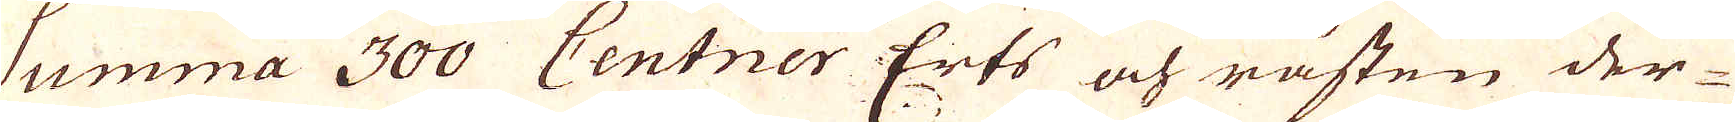Summa 300 Centner Erts och råsten der-
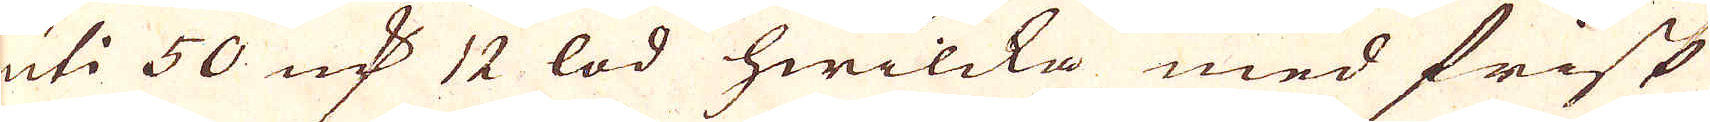uti 50 qv:r 12 lod hwilcka med frisk
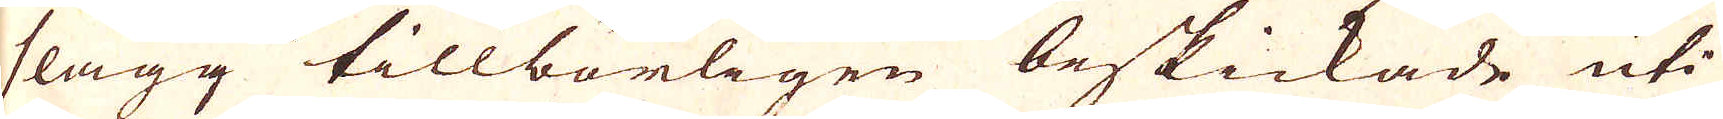slagg tillbörligen beskickade uti
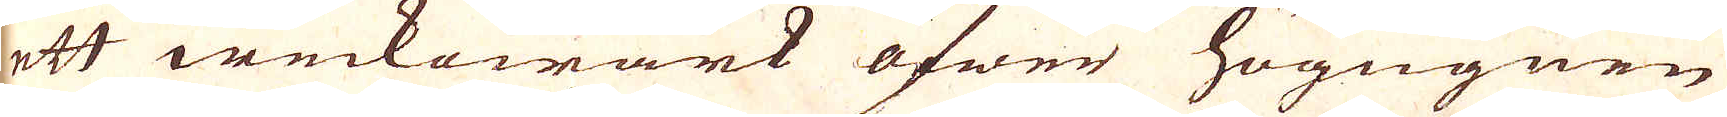ett weckowärk öfwer högugnen
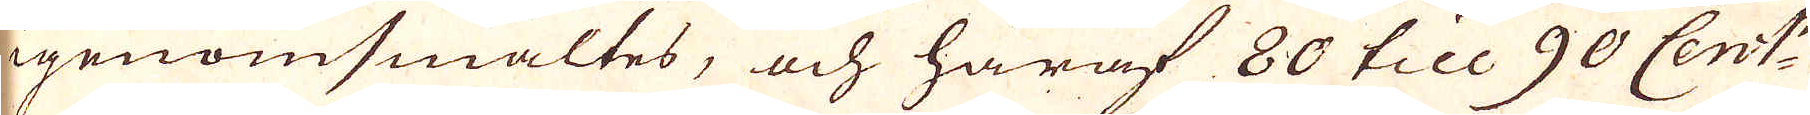igenomsmältes, och häraf 60 till 90 Cent:r
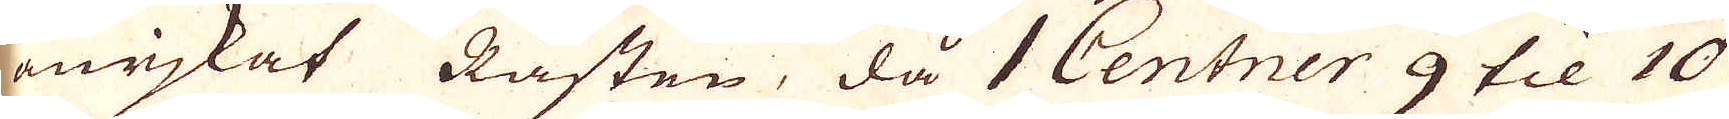anrjkat Råsten, då 1 Centner 9 til 10
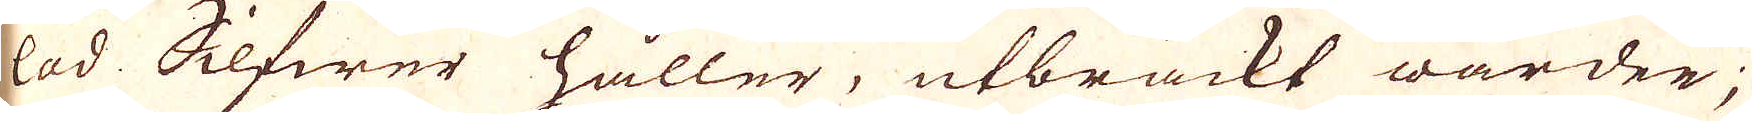lod Silfwer håller, utbrackt warder;
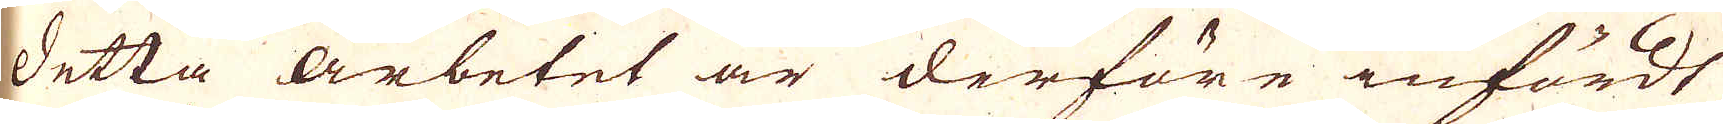Detta arbetet är derföre infördt
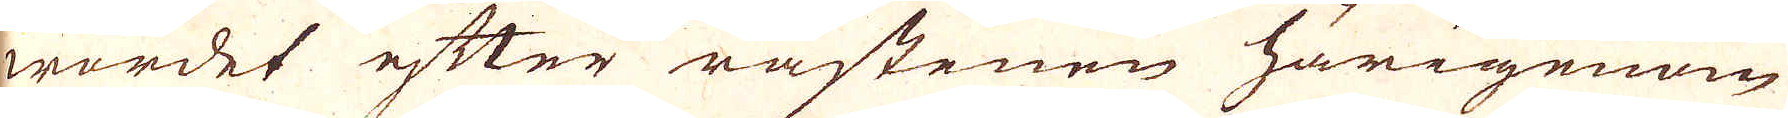wordet efter råstenen härigenom
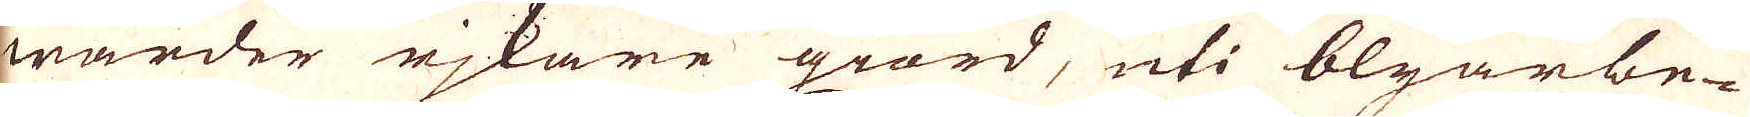warder rjkare giord, uti blyarbe-
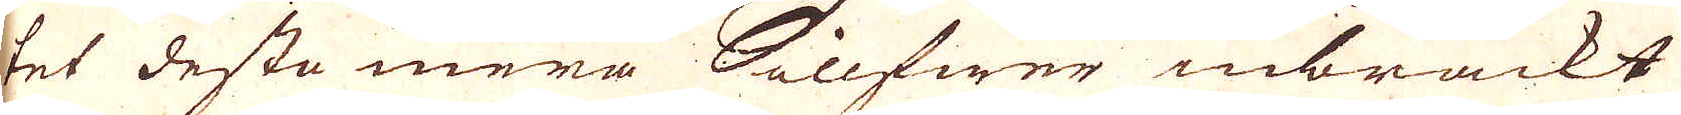tet desto mera Silfwer inbrackt
